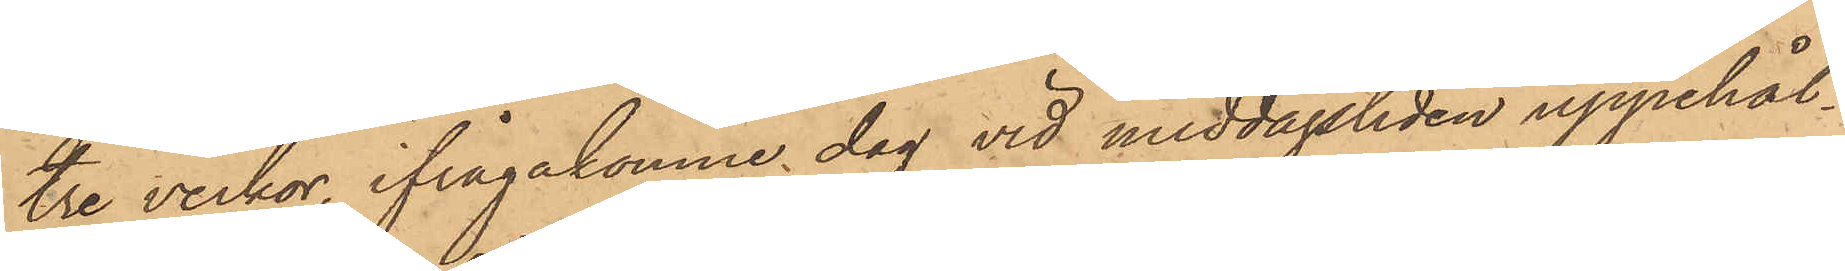tre veckor, ifrågakomne dag vid middagstiden uppehål¬
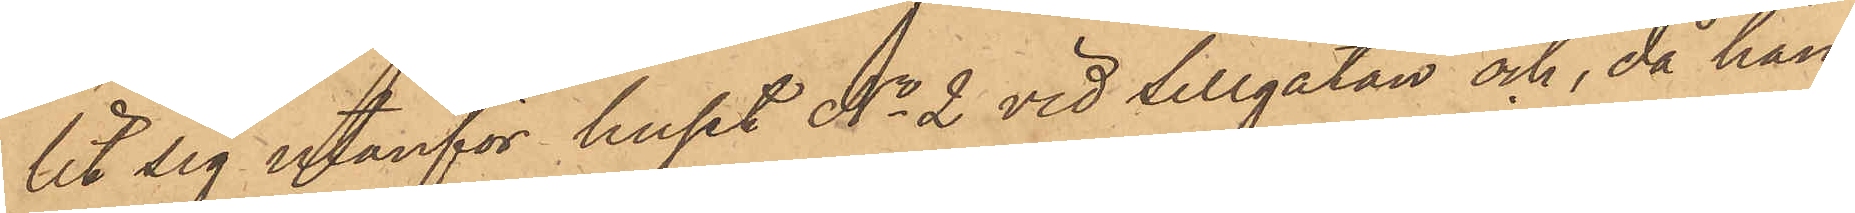lit sig utanför huset No 2 vid Sillgatan och, då han
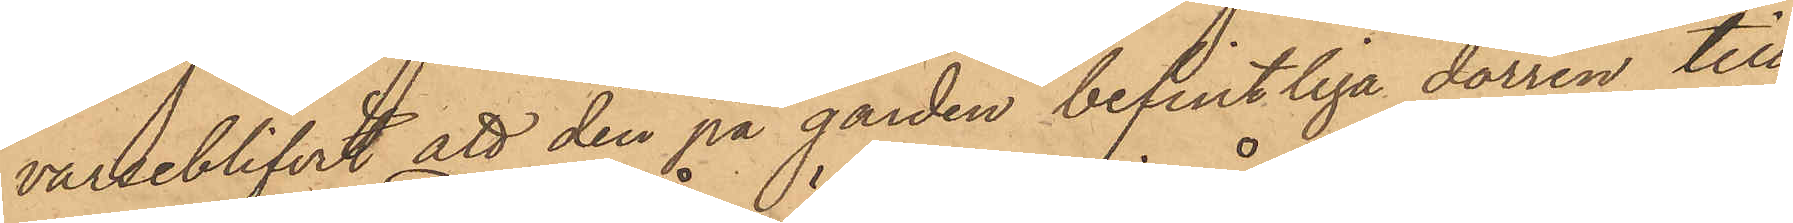varseblifvit att den på gården befintliga dörren till
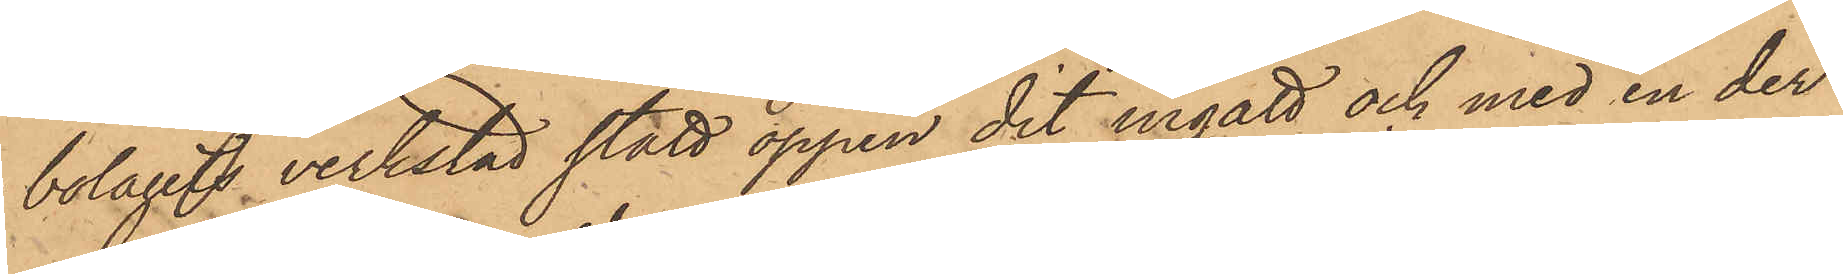bolagets verkstad stått öppen dit ingått och med en der
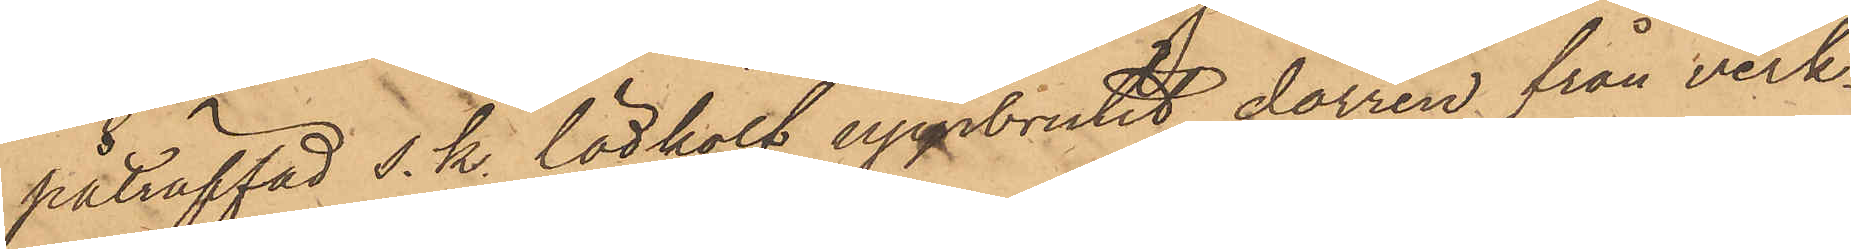påträffad s. k. lödkolf uppbrutit dörren från verk¬
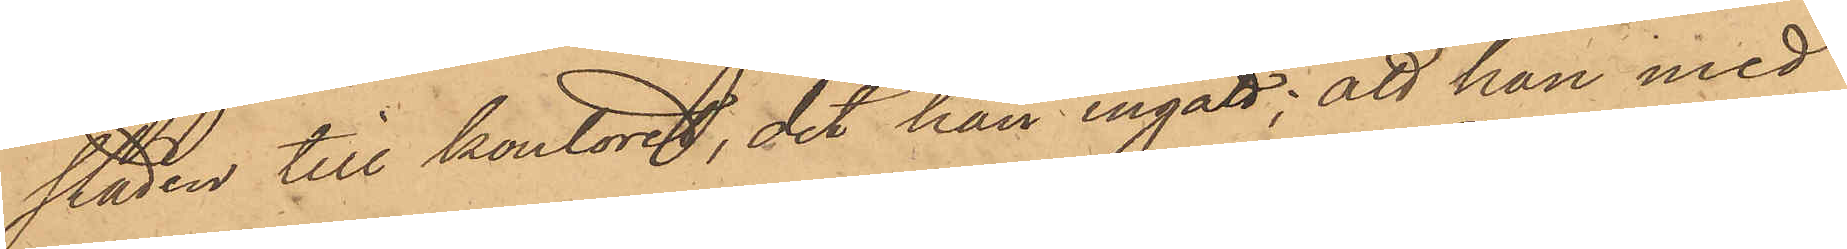staden till kontoret, dit han ingått; att han med
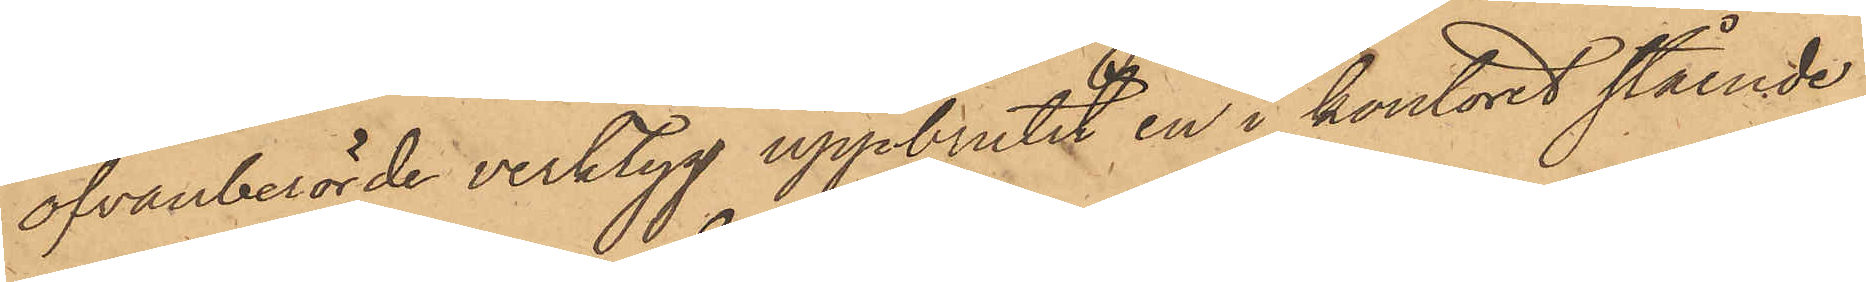ofvanberörde verktyg uppbrutit en i kontoret stående
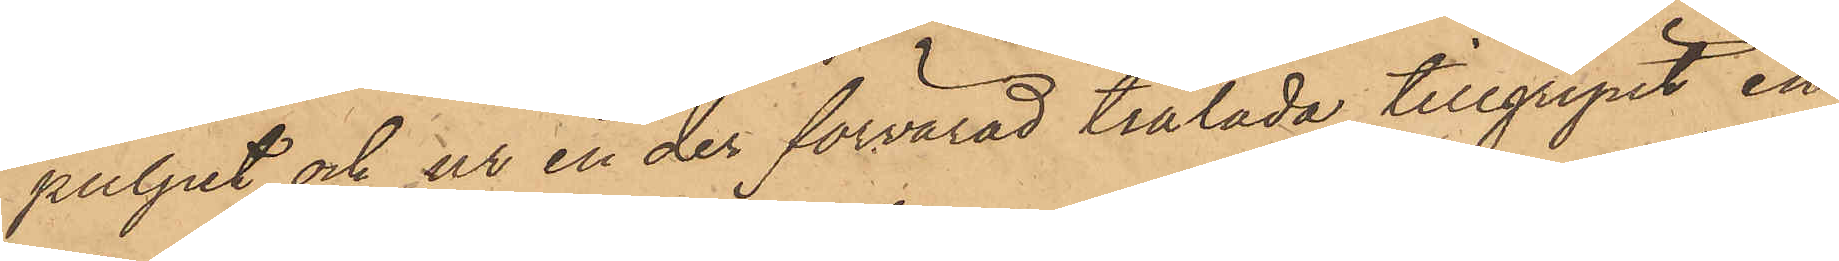pulpet och ur en der förvarad trälåda tillgripit en
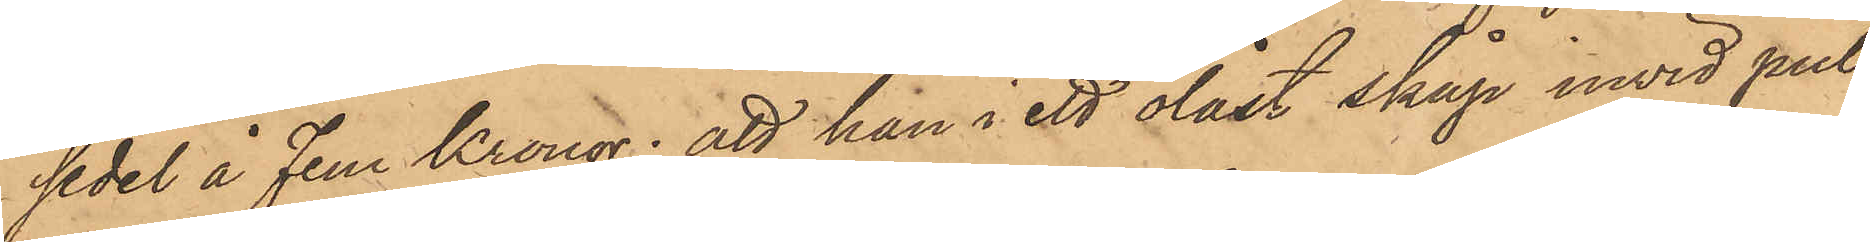sedel å Fem Kronor; att han i ett olåst skåp invid pul¬
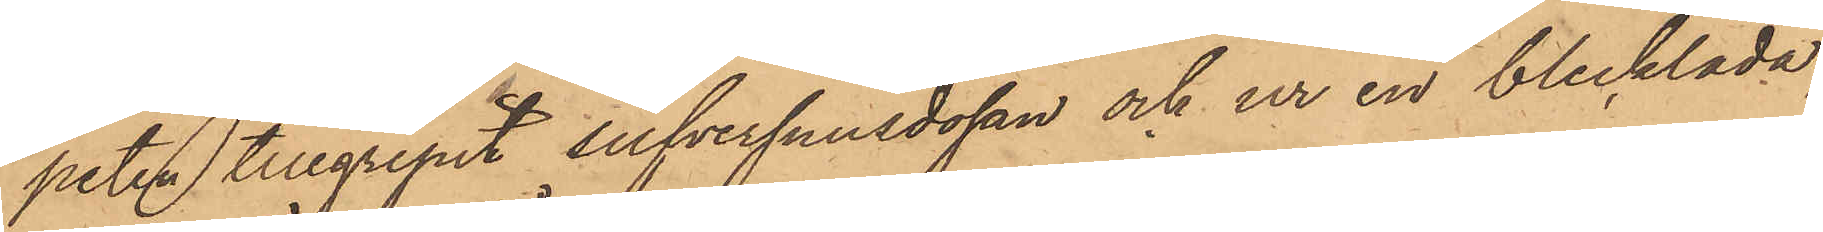peten tillgripit silfversnusdosan och ur en blecklåda,
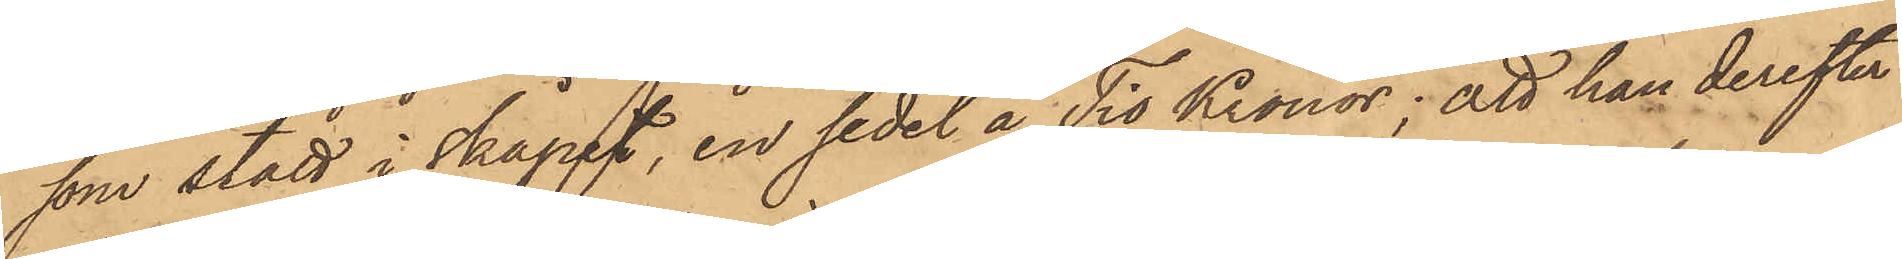som stått i skåpet, en sedel å Tio Kronor; att han derefter
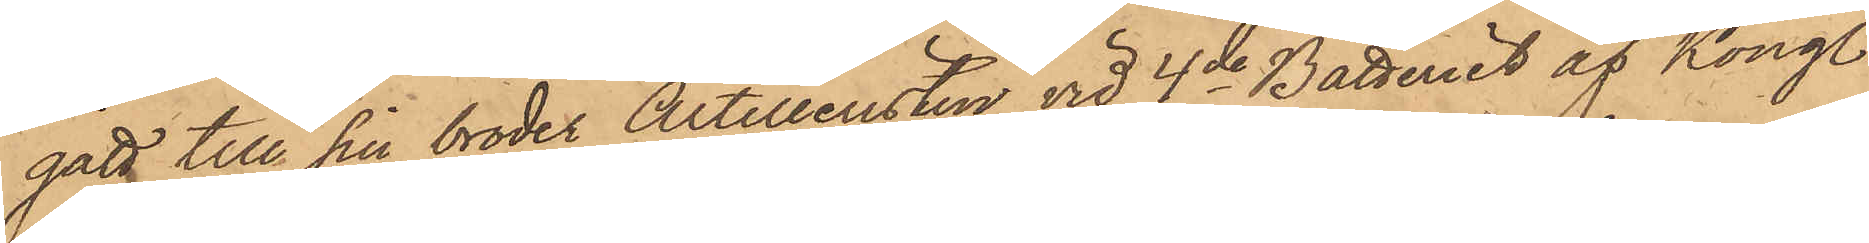gått till sin broder Artilleristen vid 4de Batteriet af Kongl.
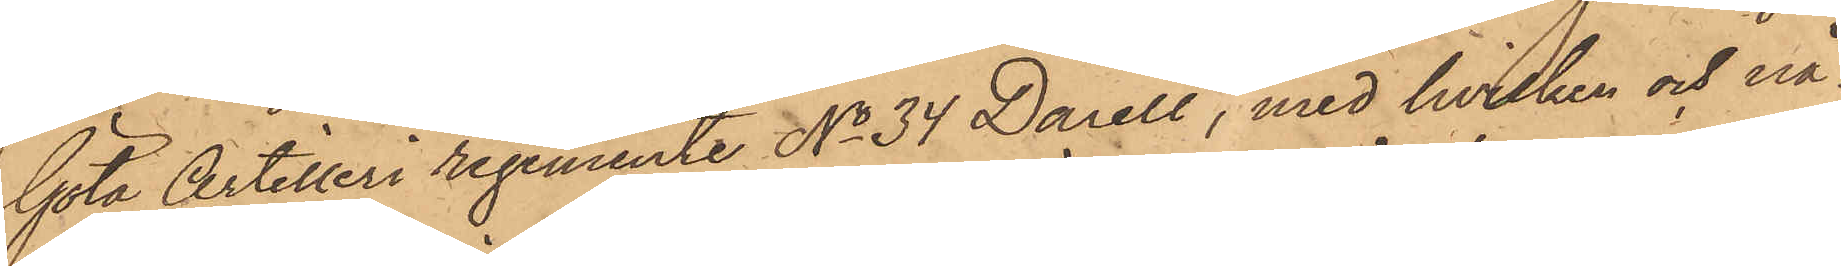Göta Artilleri regemente No 34 Darell, med hvilken ock nå¬
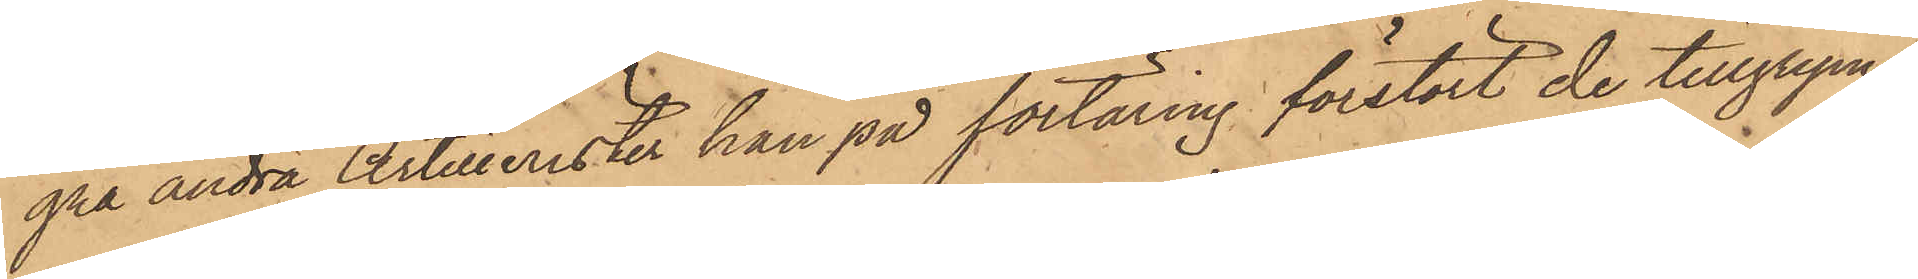gra andra Artillerister han på förtäring förstört de tillgripne
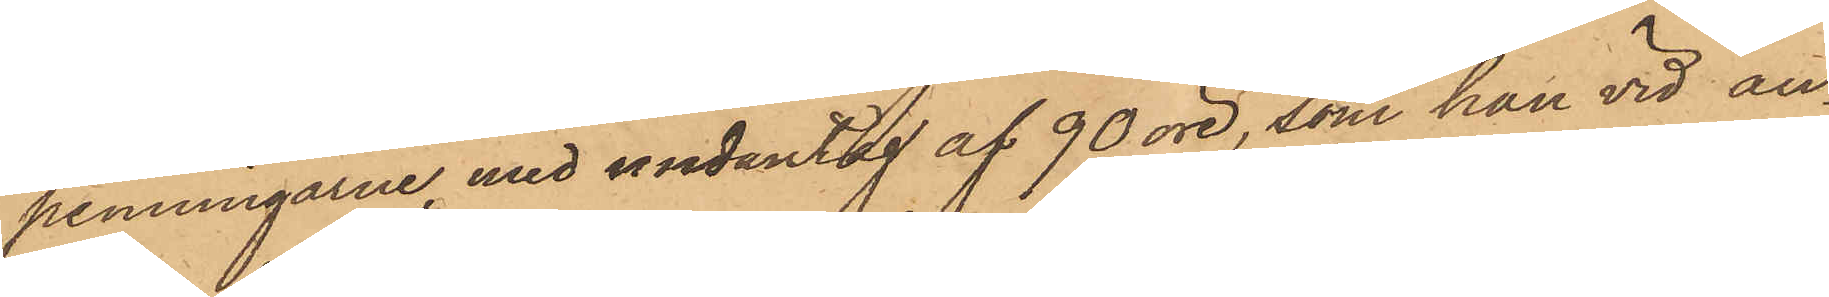penningarne, med undantag af 90 öre, som han vid an¬
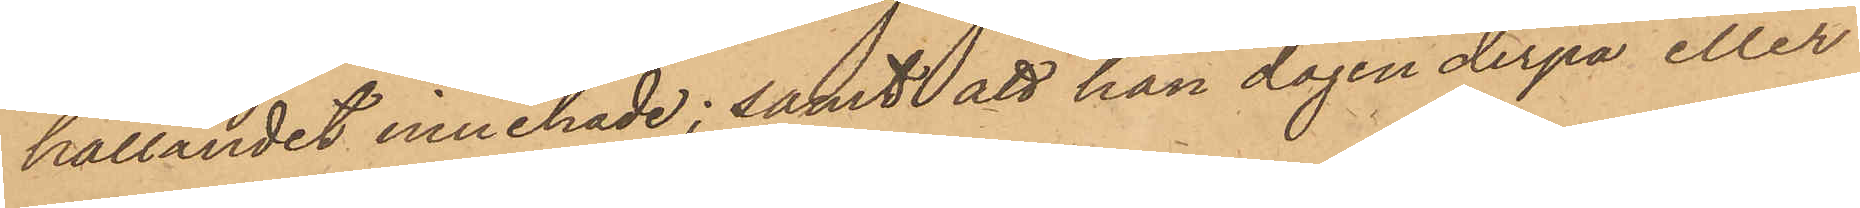hållandet innehade; samt att han dagen derpå eller
